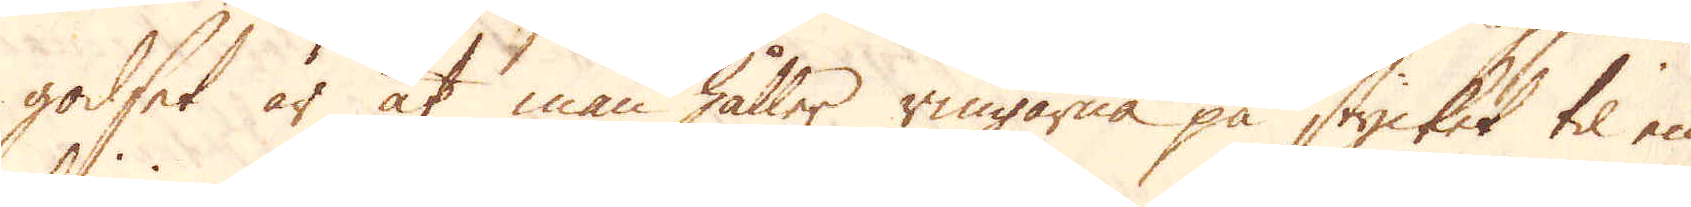godset är at man håller ringarna på stycket til en
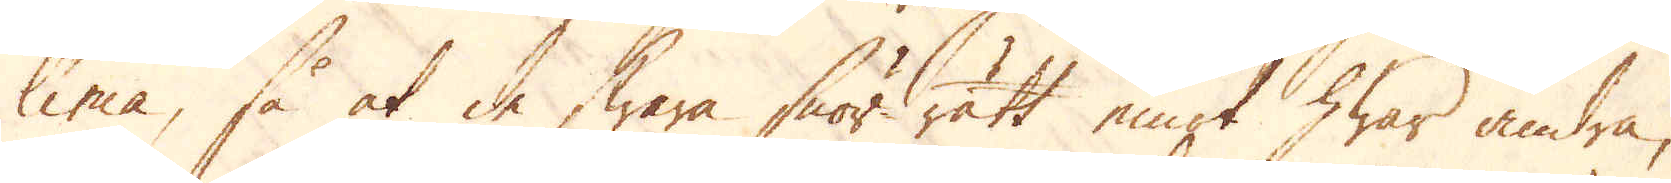linie, så at de swara snör-rätt emot hwar andra,
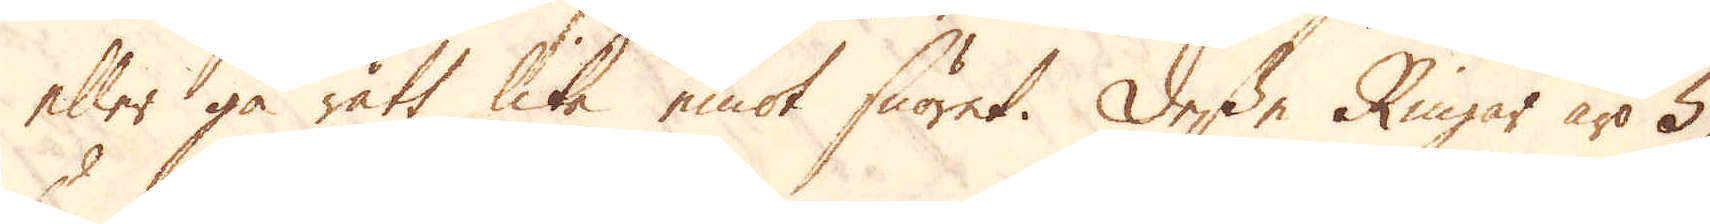eller gå rätt lika emot snöret. Desse Ringar äro 5,
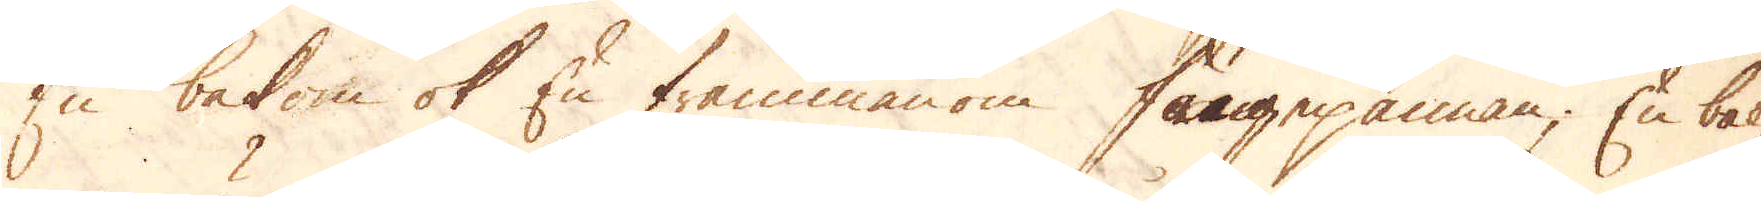En bakom ok En frammanom fångepannan; En bak-
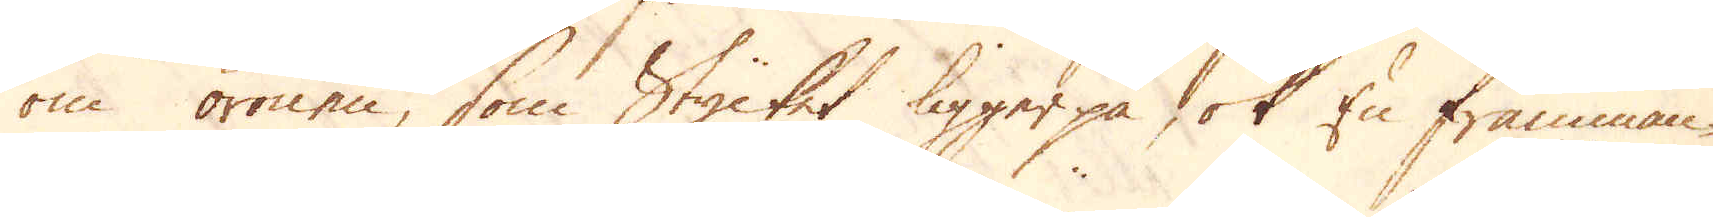om öronen, som Stycket ligger på ok En framman-
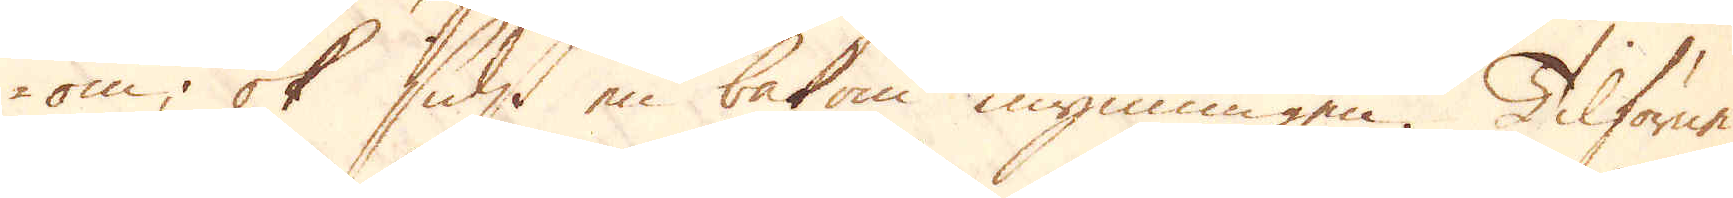om; ok sidst en bakom mynningen. Tilförne
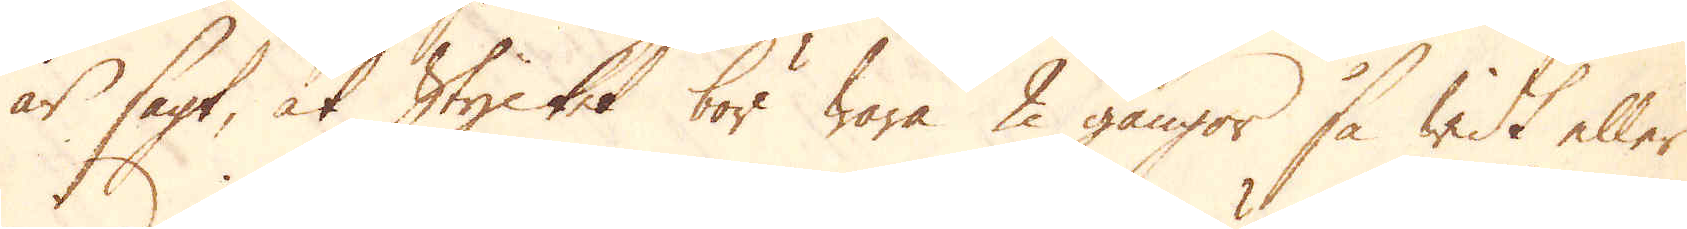är sagt, at Stycket bör wara 2 gångor så widt eller
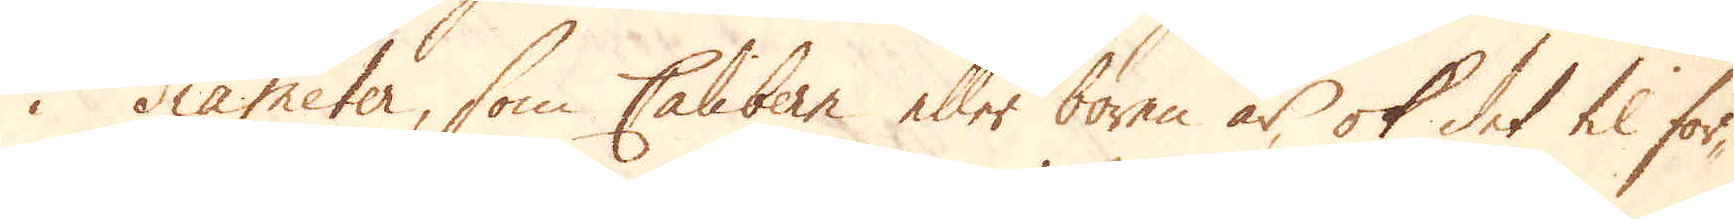i diameter, som Calibern eller boren är, ok det til för-
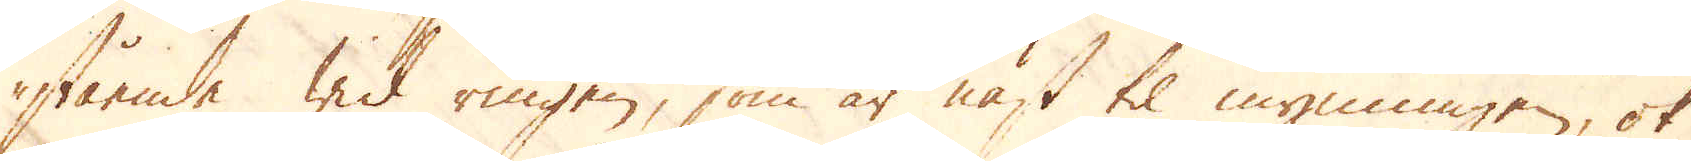stående wid ringen, som är näst til mynningen, ok
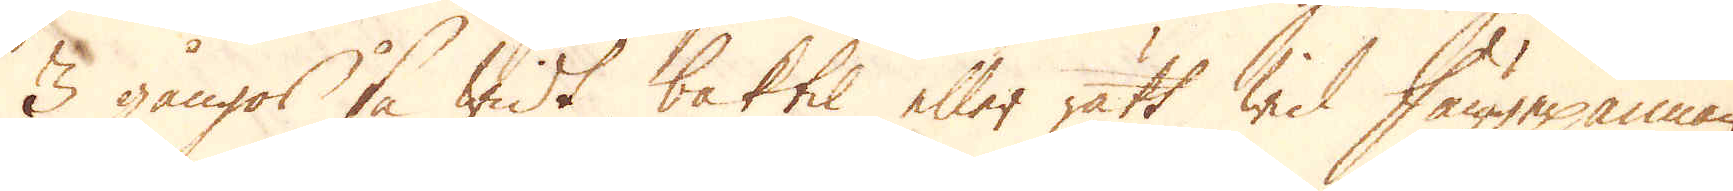3 gångos så widt baktil eller rätt wid fångepannan
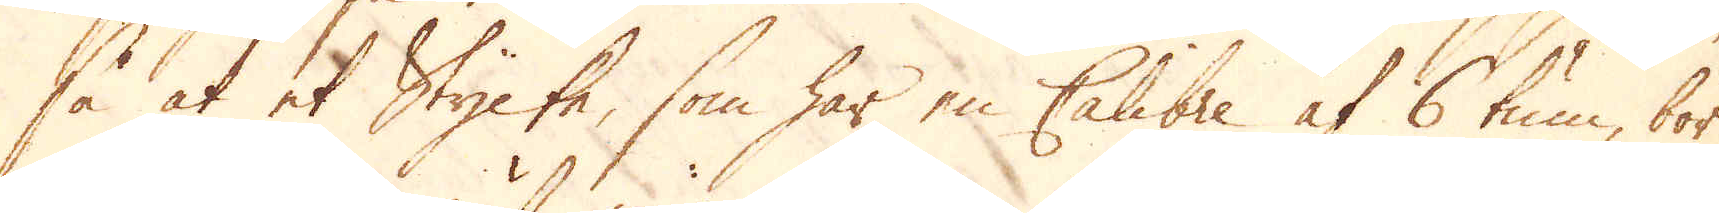så at et Stycke, som har en Calebre af 6 tum, bör
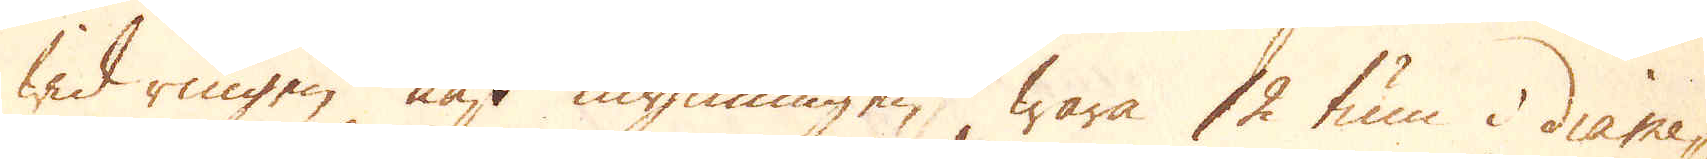wid ringen näst mynningen wara 12 tum i diame-
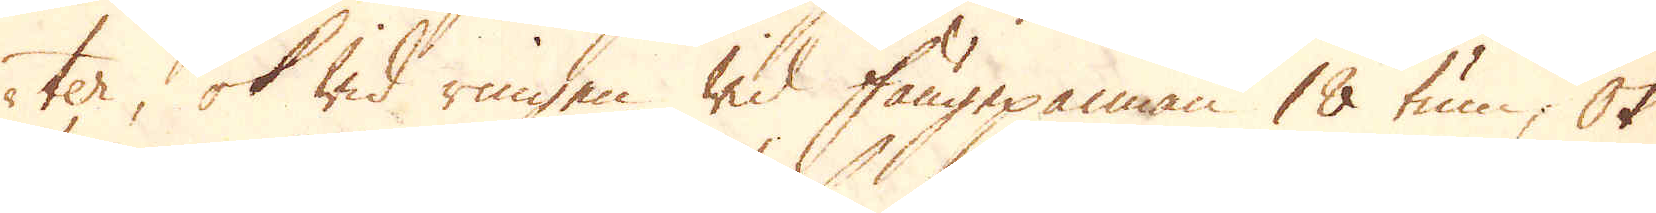ter, ok wid ringen wid fångepannan 18 tum; Ok
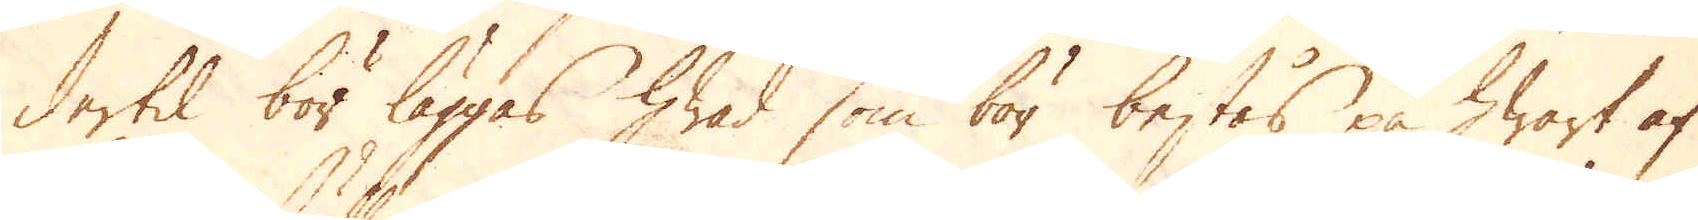dertil bör läggas hwad som bör bestås på hwart af
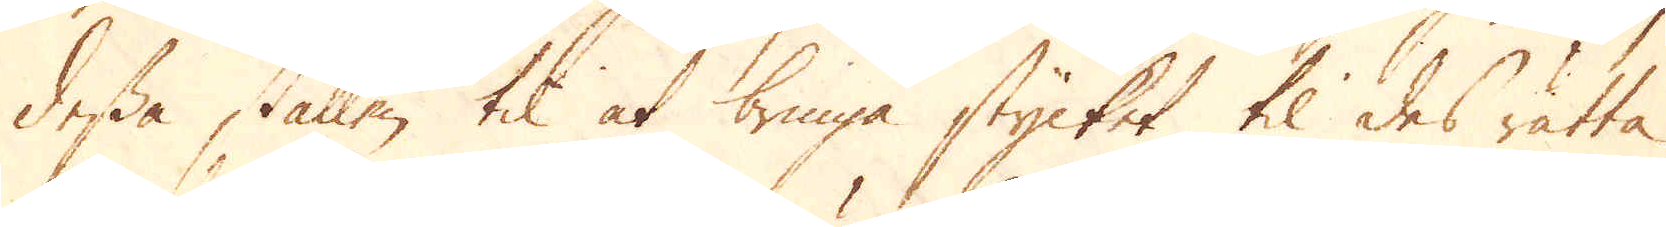dessa ställen til at bringa stycket til des rätta
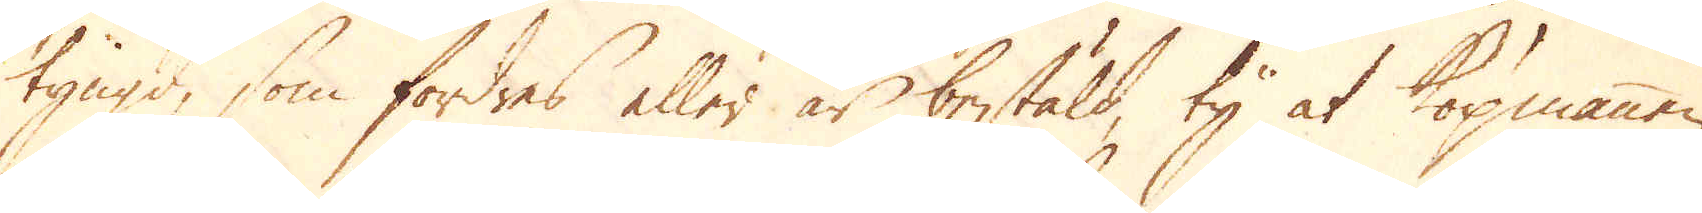tyngd, som fordres eller är bestäld ty at köpmannen,
